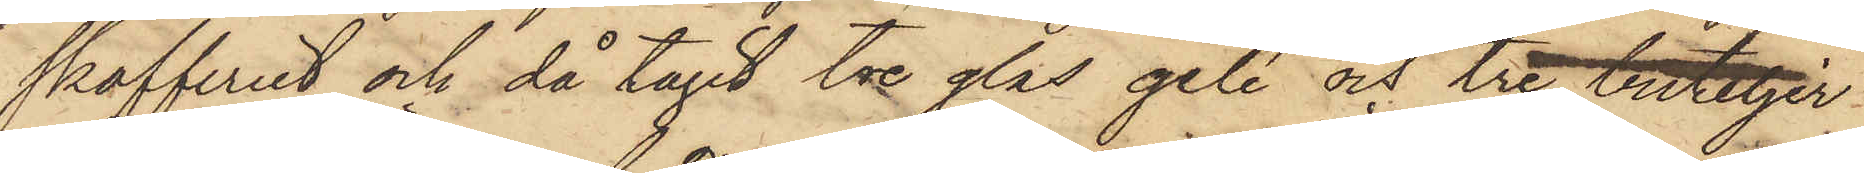skafferiet och då tagit tre glas gelé och tre buteljer
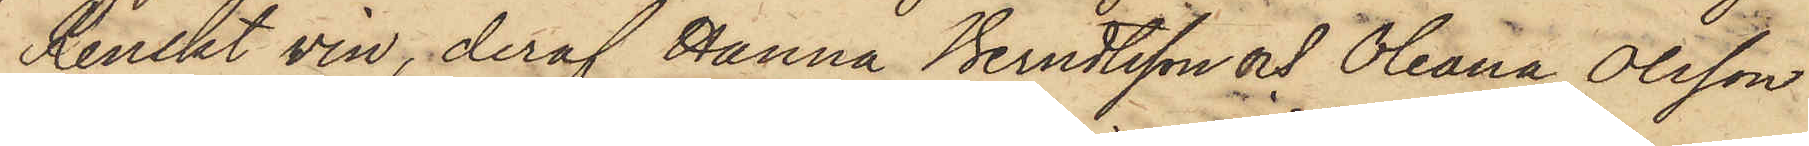Renskt vin, deraf Hanna Berndtsson och Oleana Olsson
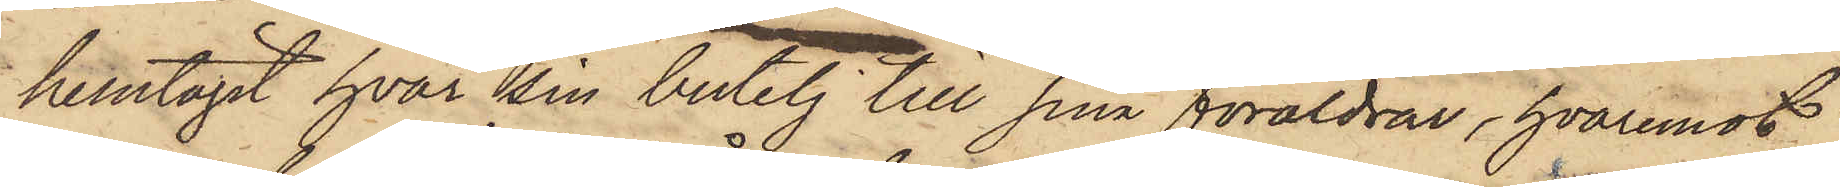hemtagit hvar sin butelj till sina föräldrar, hvaremot
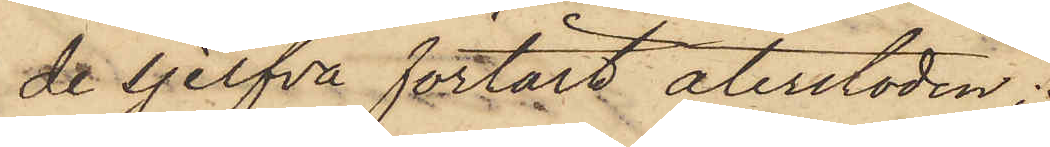de sjelfva förtärt återstoden;
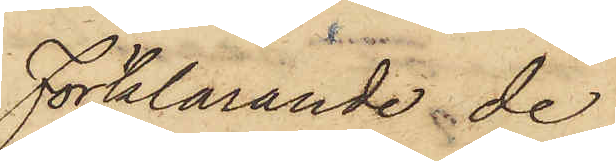Förklarande de
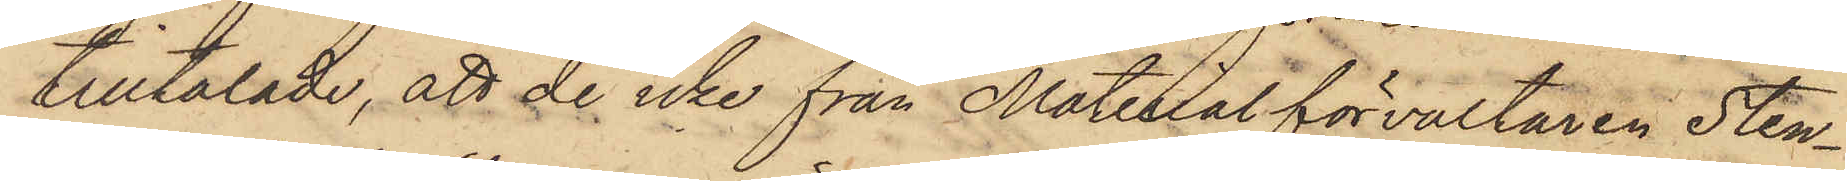tilltalade, att de icke från Materialförvaltaren Sten¬
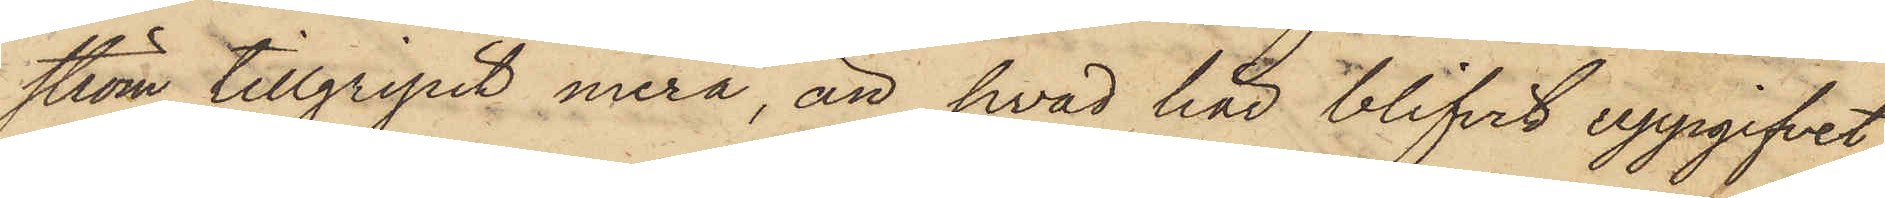ström tillgripit mera, än hvad här blifvit uppgifvet,
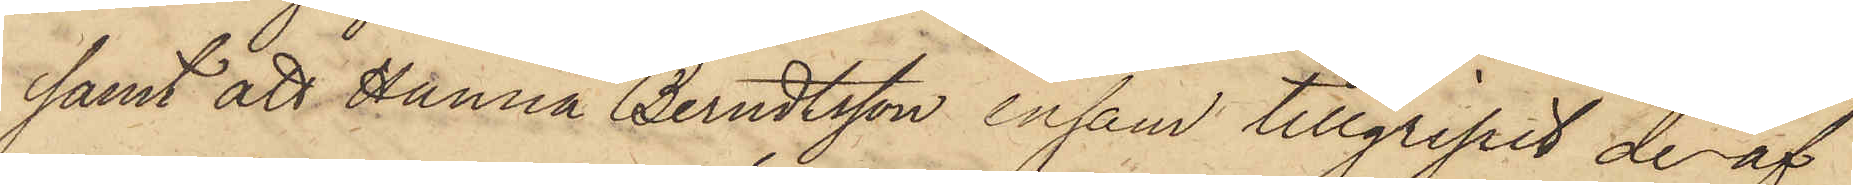samt att Hanna Berndtsson ensam tillgripit de af
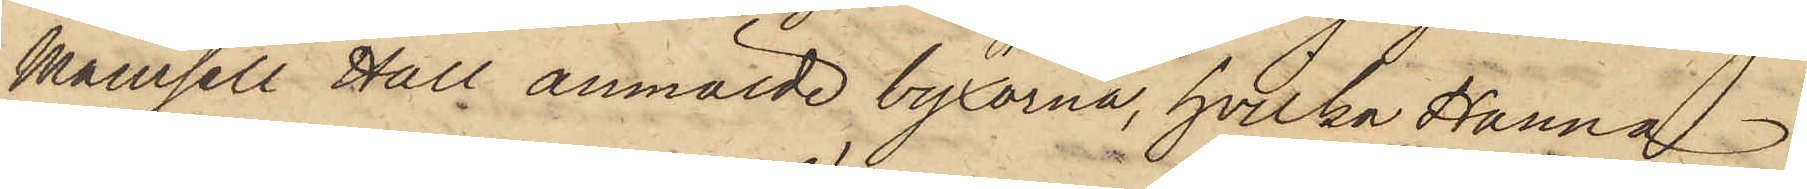Mamsell Hall anmälde byxorna, hvilka Hanna
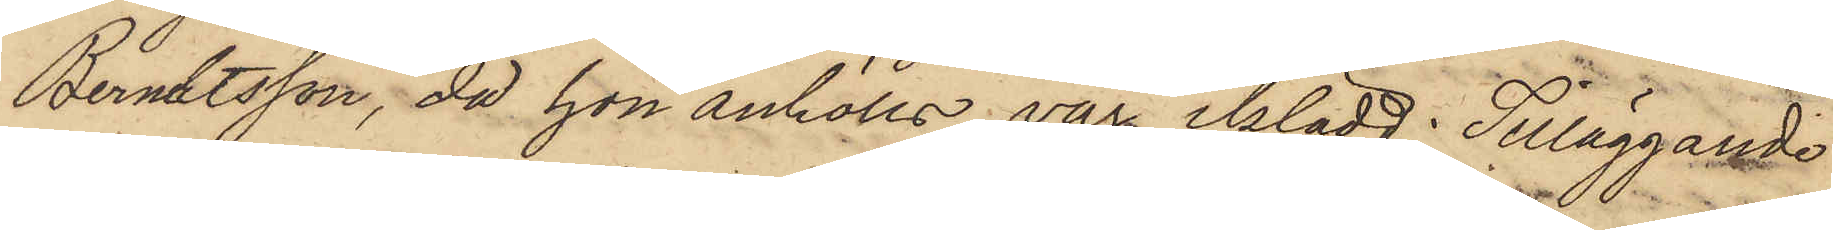Berndtsson, då hon anhölls, var iklädd; Tilläggande
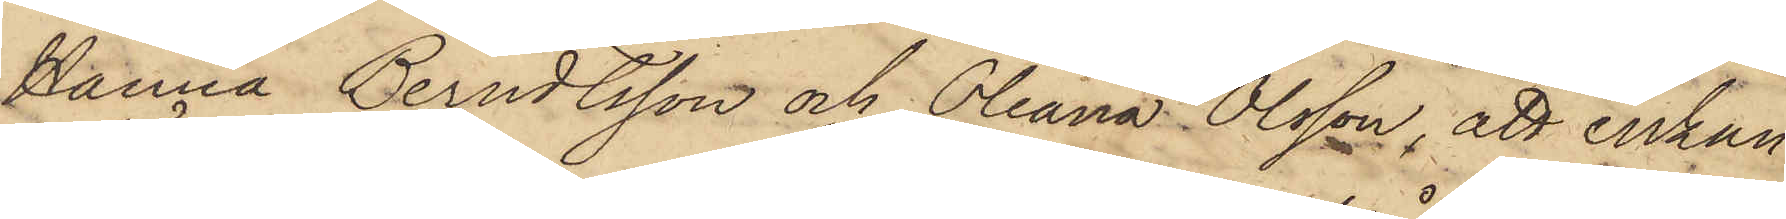Hanna Berndtsson och Oleana Olsson, att enkan
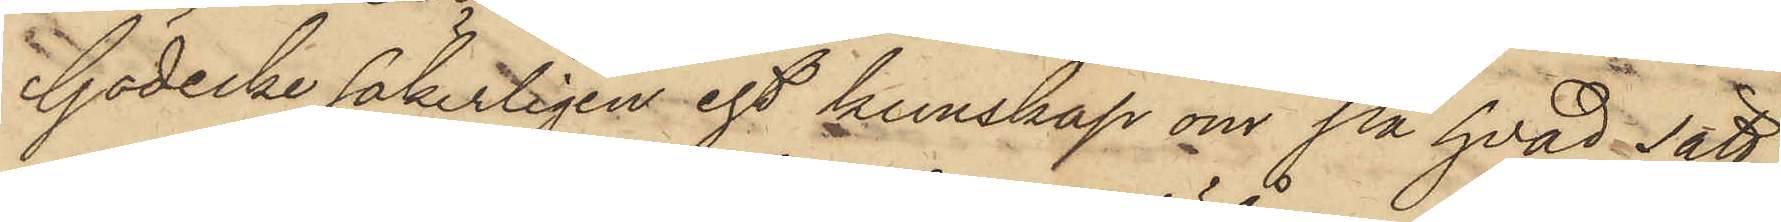Gödecke säkerligen egt kunskap om på hvad sätt
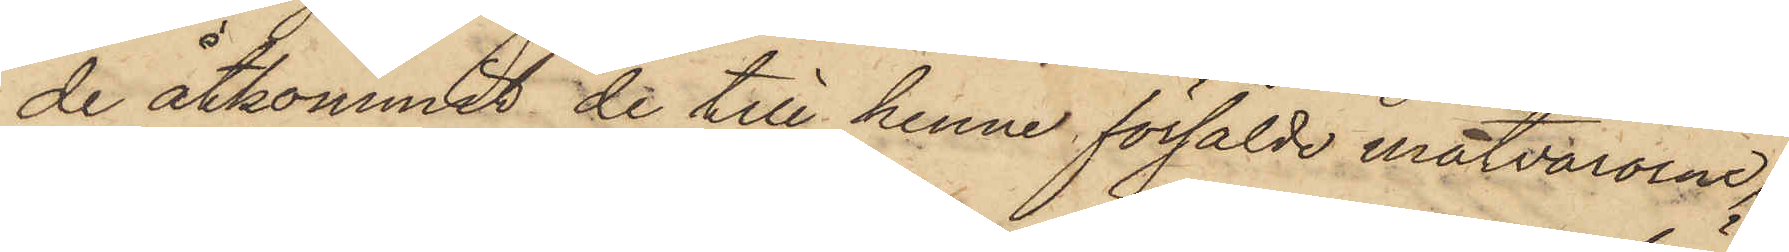de åtkommit de till henne försålde matvarorna;
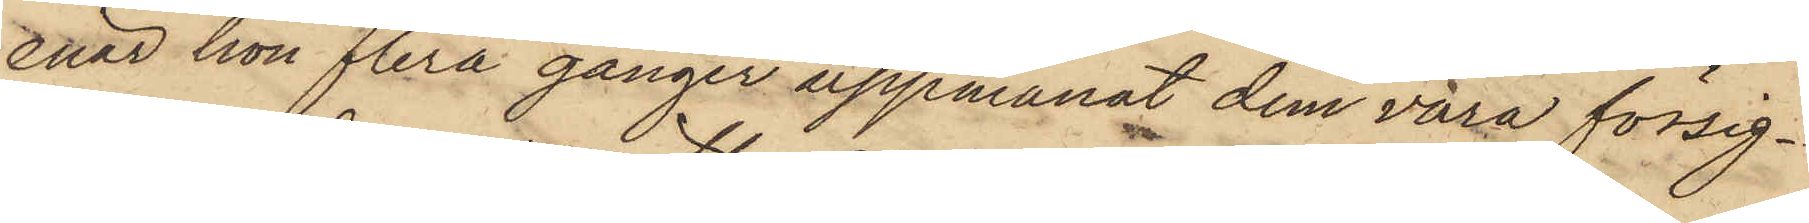enär hon flera gånger uppmanat dem vara försig¬
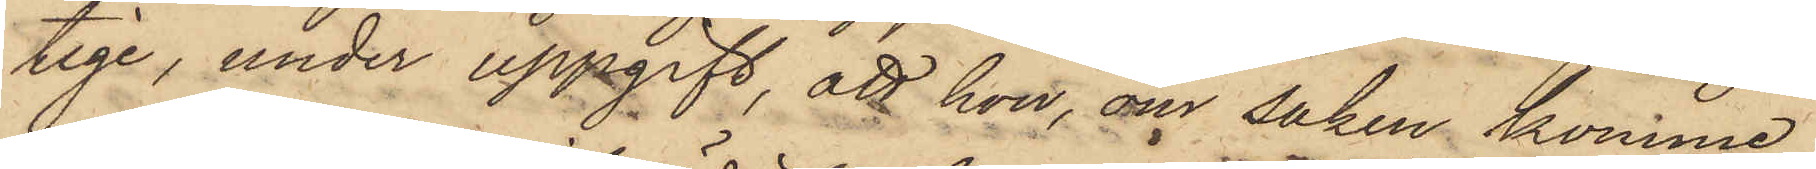tige, under uppgift, att hon, om saken, komme
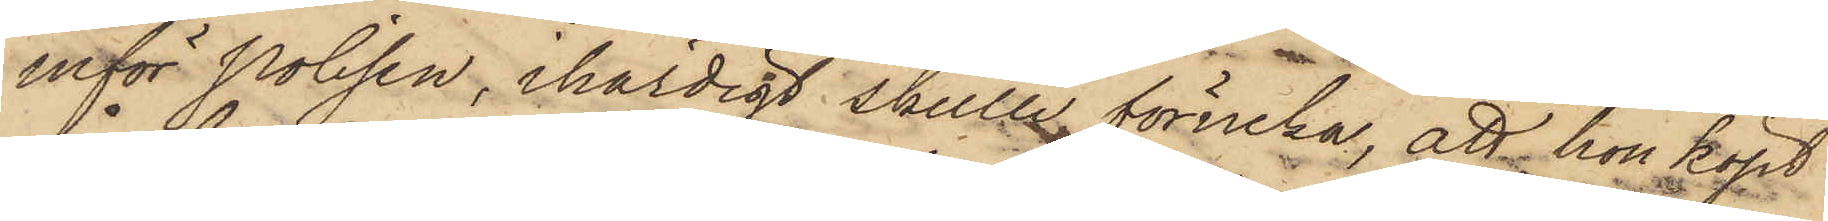inför polisen, ihärdigt skulle förneka; att hon köpt
